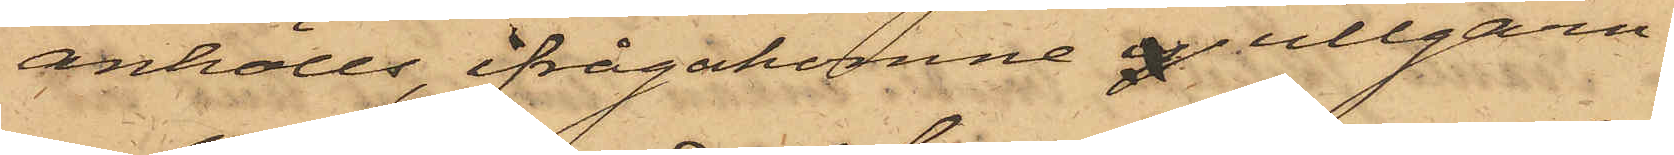anhölls, ifrågakomne ullgarn.
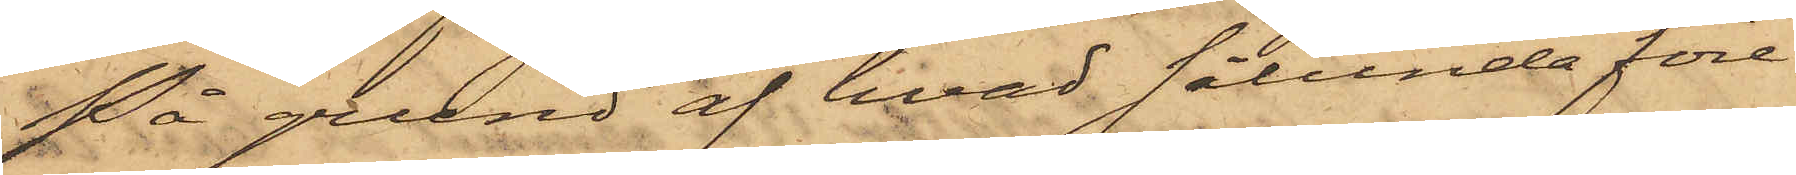På grund af hvad sålunda före¬
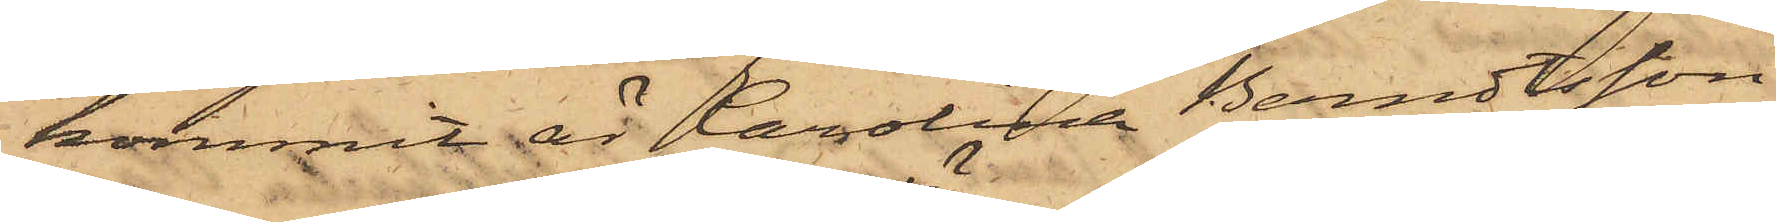kommit är Carolina Berndtsson
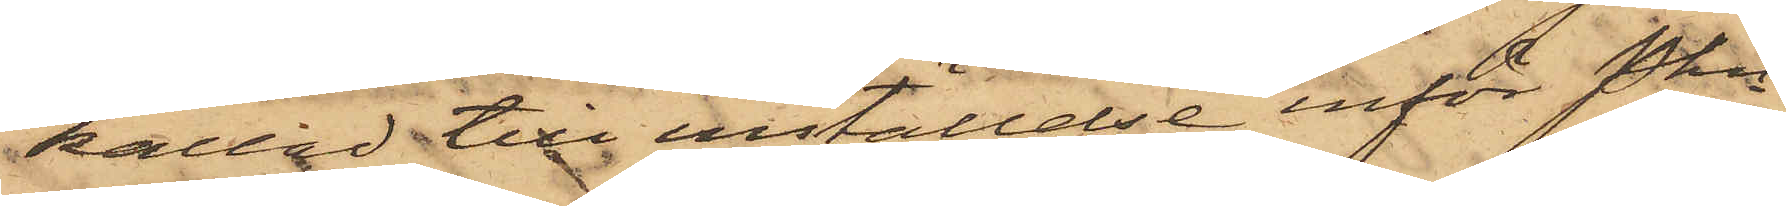kallad till inställelse inför Pkn
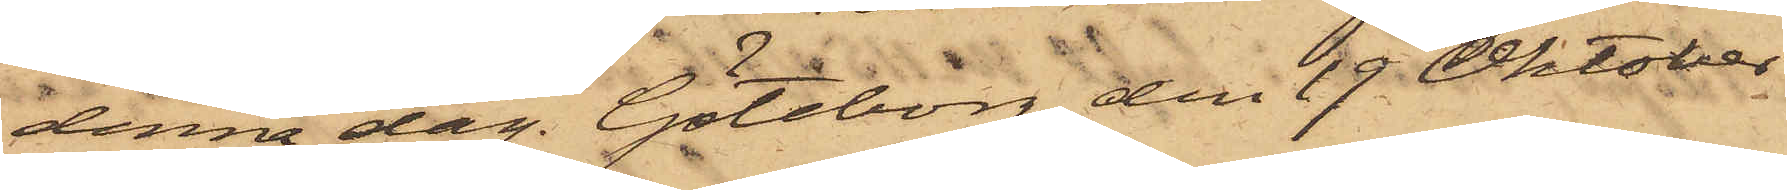denna dag. Göteborg den 19 Oktober
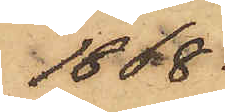1868.
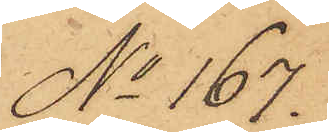No 167.
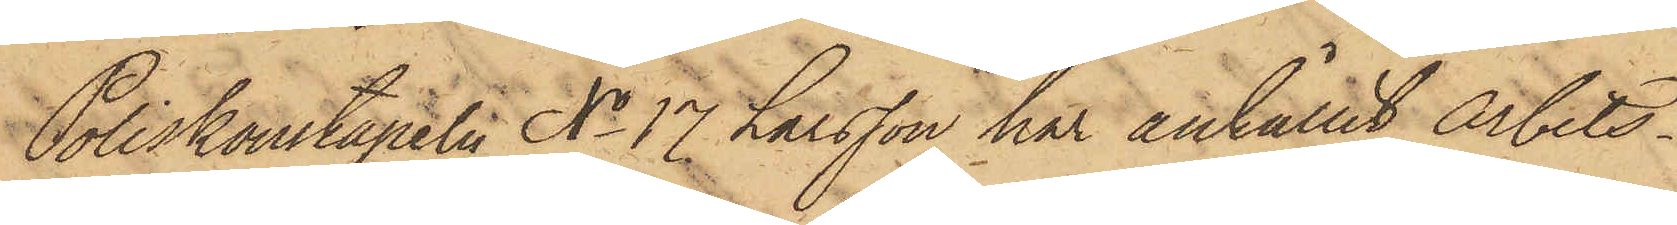Poliskonstapeln No 17 Larsson har anhållit arbets¬
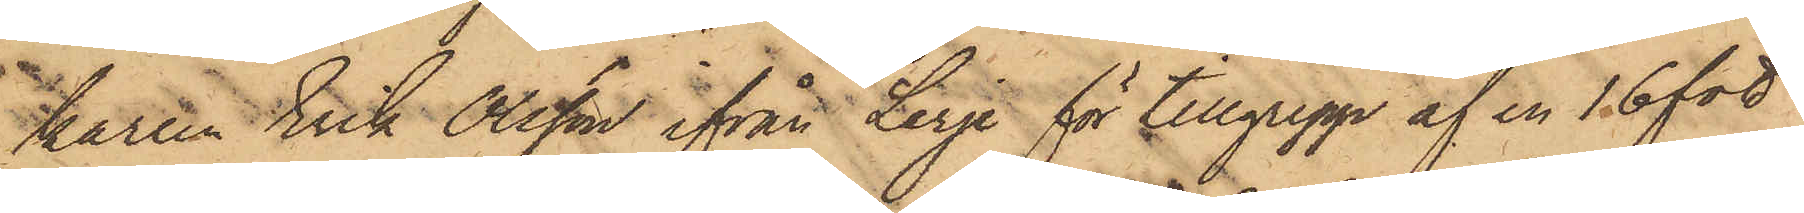parten Erik Olsson ifrån Lerje för tillgrepp af en 16 fot
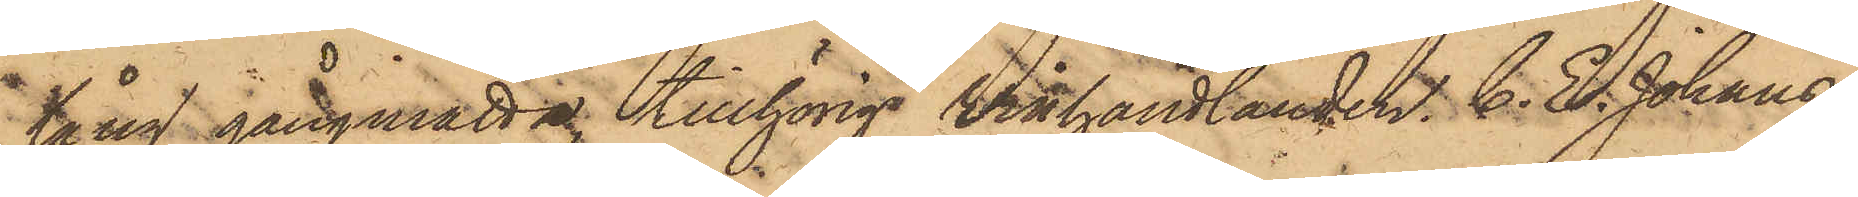lång gångmatta tillhörig Winhandlanden C. E. Johans¬
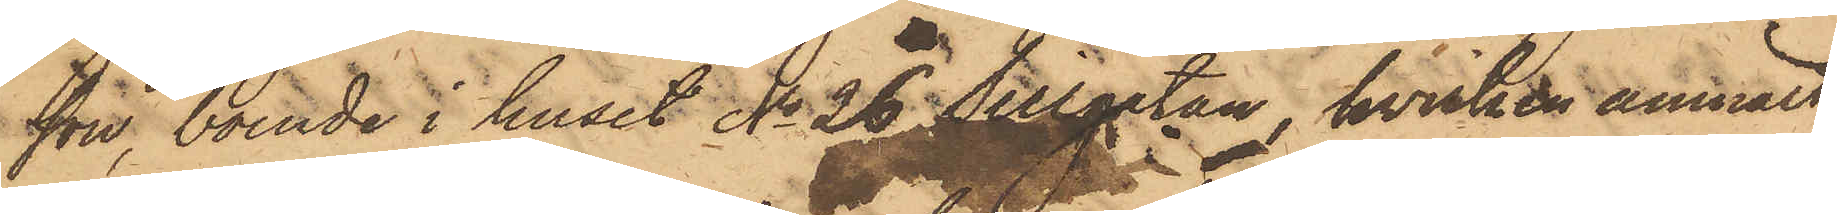son, boende i huset No 26 Sillgatan, hvilken anmält
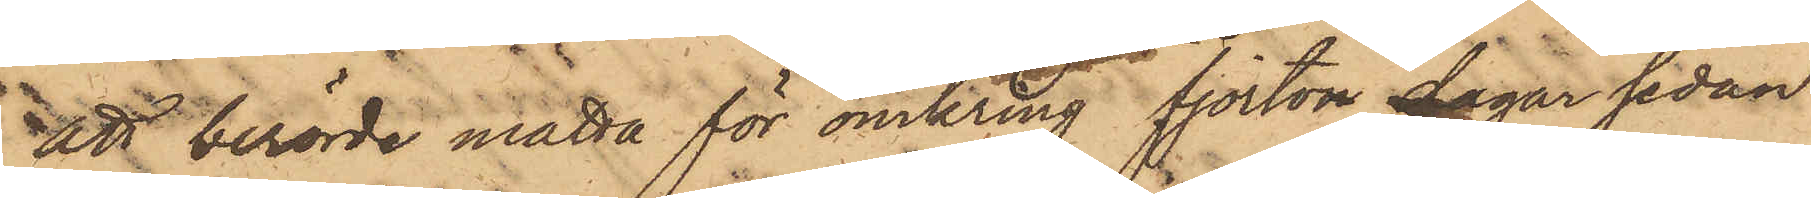att berörde matta för omkring fjorton dagar sedan
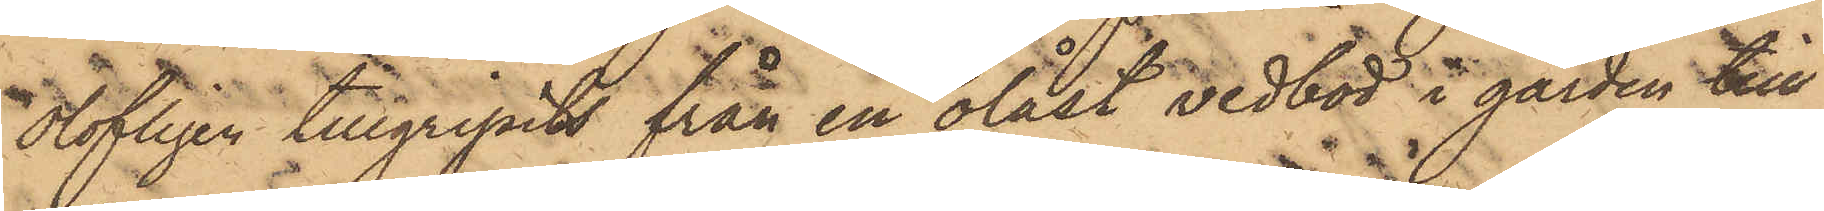olofligen tillgripits från en olåst vedbod i gården till
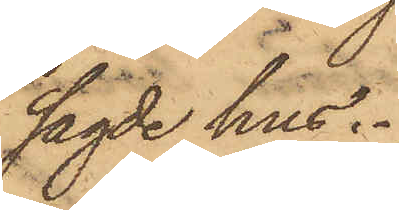sagde hus.
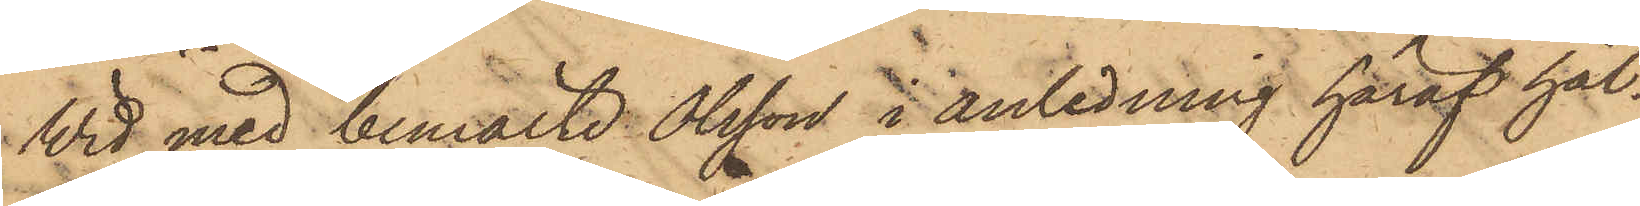Wid med bemälde Olsson i anledning häraf hål¬
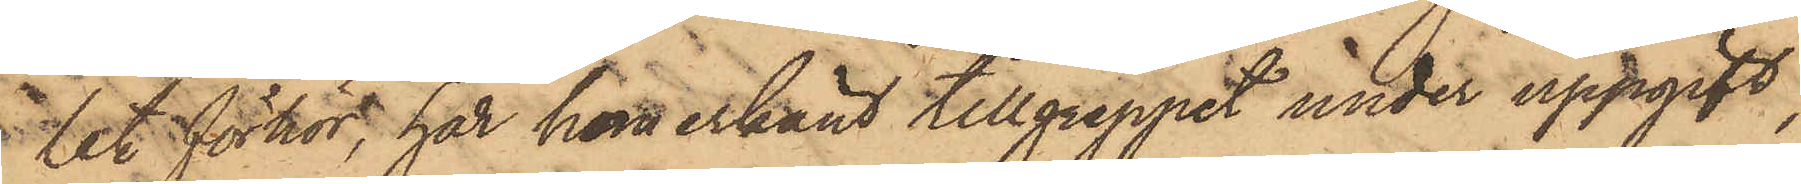let förhör, har han erkänt tillgreppet under uppgift,
